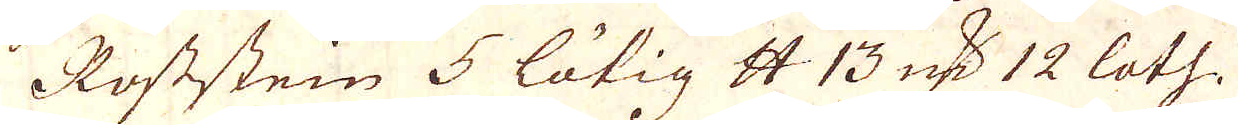Roststein 5 lötig skålpund 13 marker 12 loth.
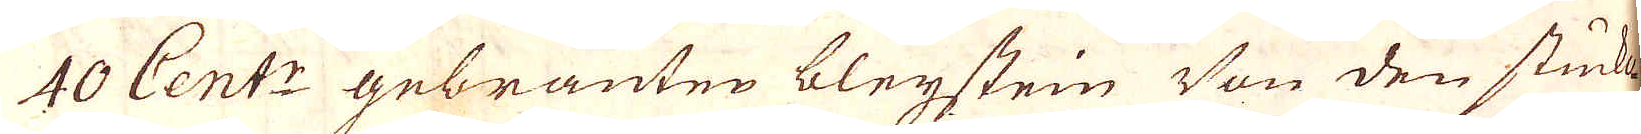40 Cent:r gebränten bleijstein Von den stuckof-
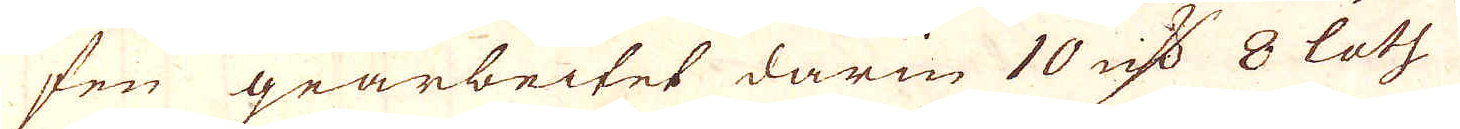fen gearbeitet darin 10 marker 8 loth
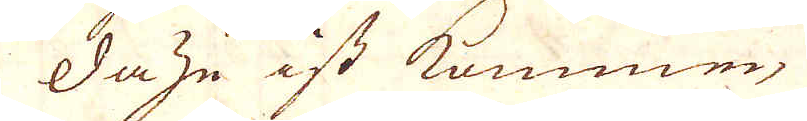dazu ist kommen
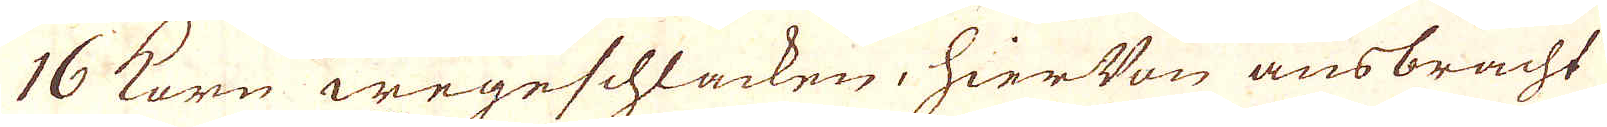16 Korn wegeschlacken, hier Von ausbracht
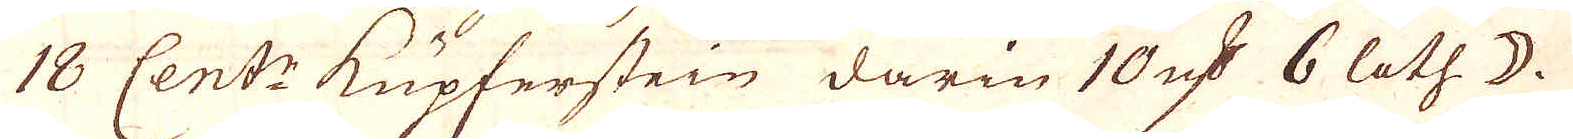18 Cent:r Kupferstein darin 10 marker 6 loth ☽.
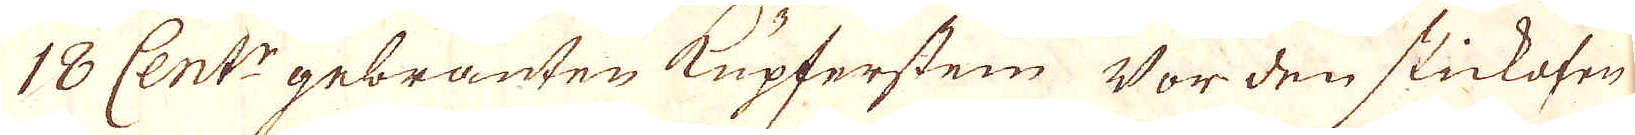18 Cent:r gebränten Kupfersten Vor den stickofen
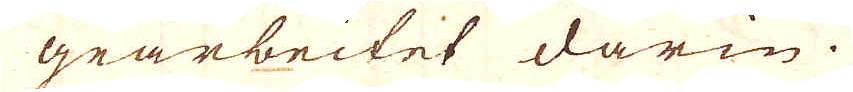gearbeitet darin.
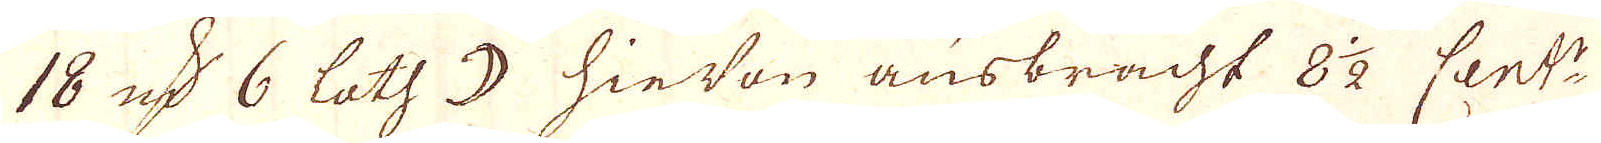18 marker 6 loth ☽ hie Von ausbracht 8 1/2 Cent:r
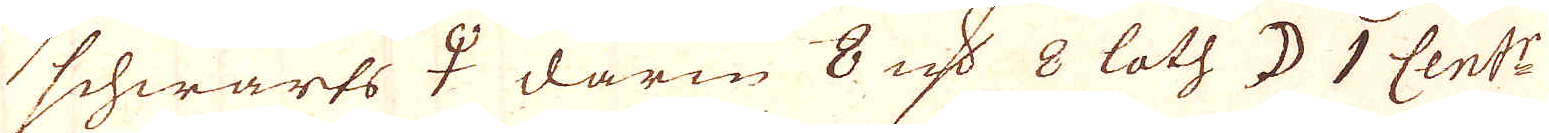schwarts ♀ darin 8 marker 8 loth ☽ 1 Cent:r
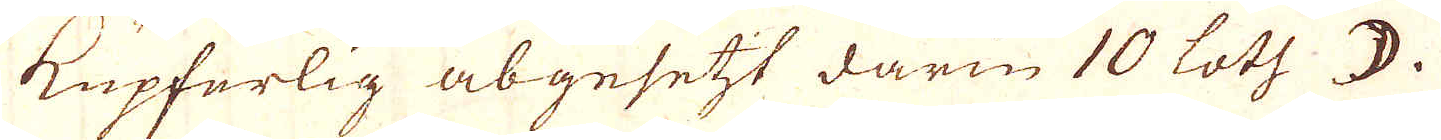Kupferlig abgesetzt darin 10 loth ☽.
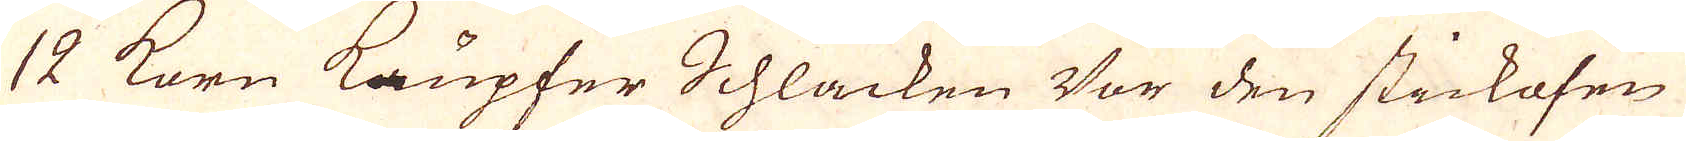12 Korn Kupfer Schlacken Vor den stickofen
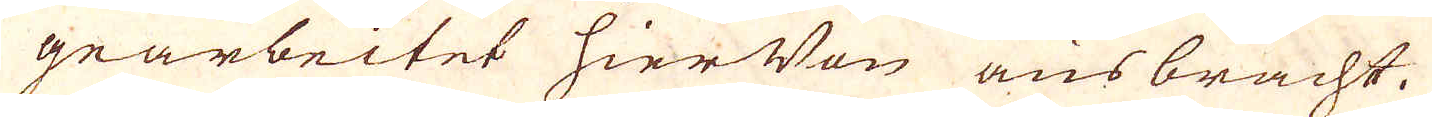gearbeitet hier Von ausbracht.
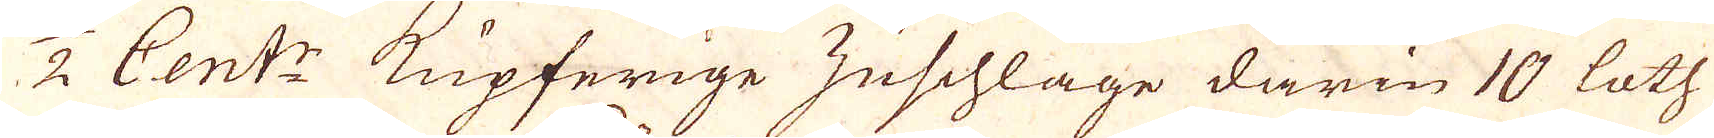1/2 Cent:r Kupferige Zuschläge darin 10 loth
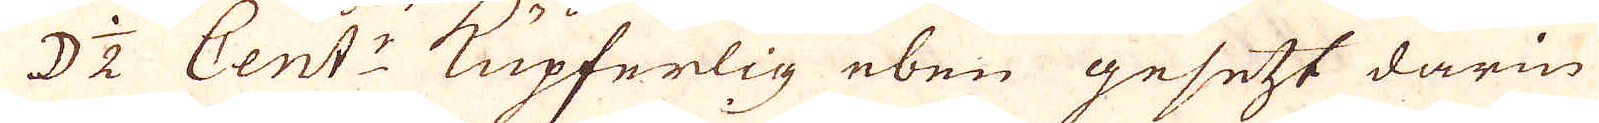☽ 1/2 Cent:r Kupferlig eben gesetzt darin
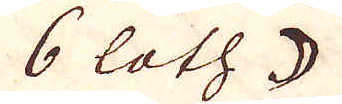6 loth ☽
